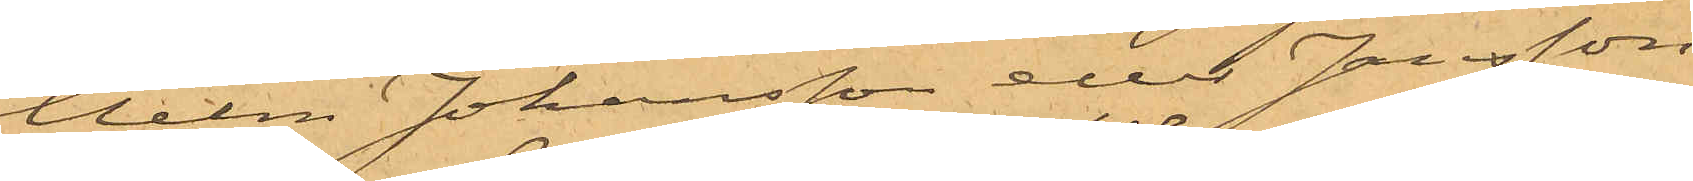helm Johansson eller Jansson,
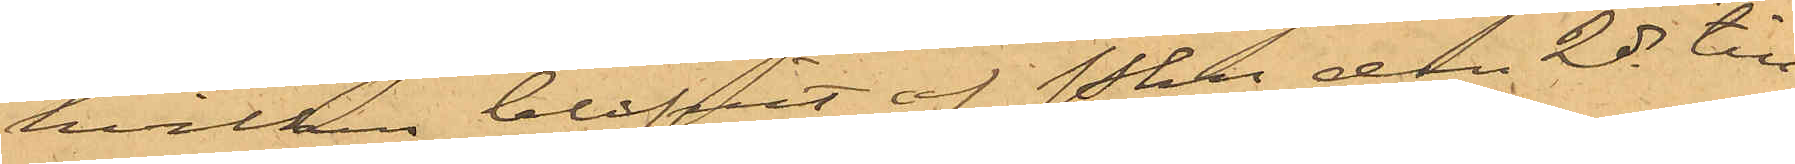hvilken blifvit af Pkn den 2 ds till
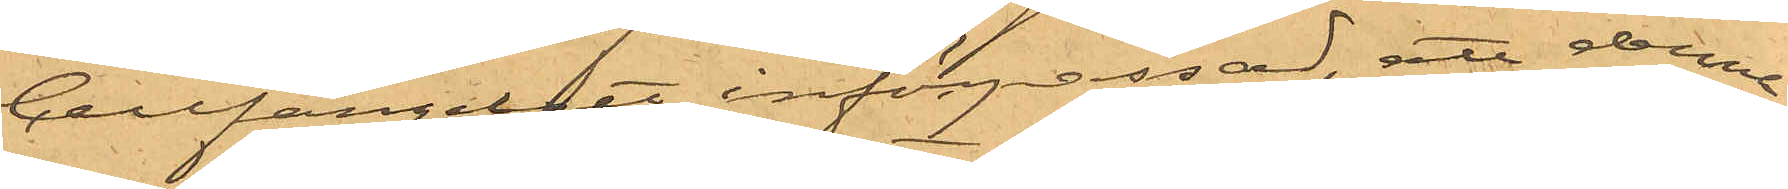Cellfängelset införpassad, att denna
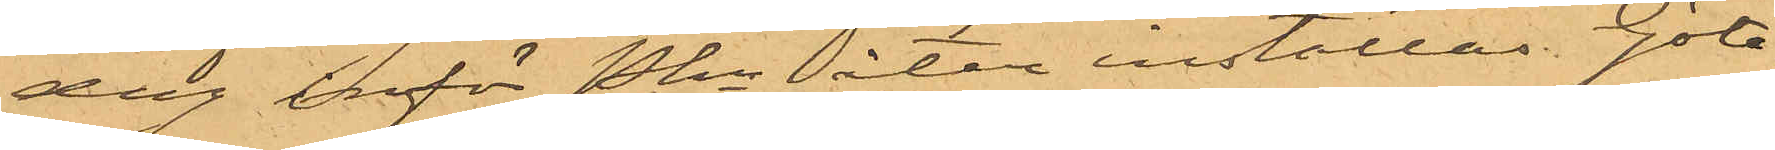dag inför Pkn åter inställas. Göte¬
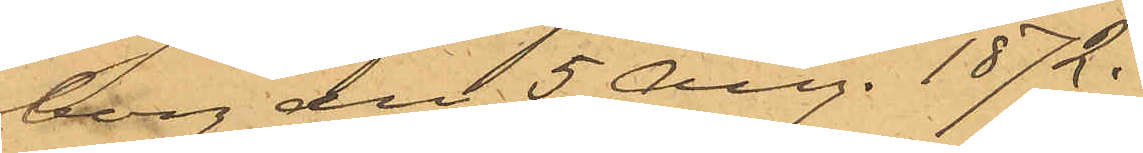borg den 5 Aug. 1872.
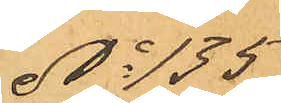No 135
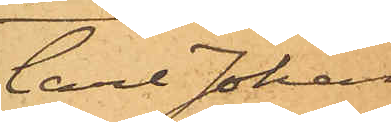Carl Johan
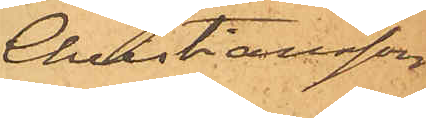Christiansson
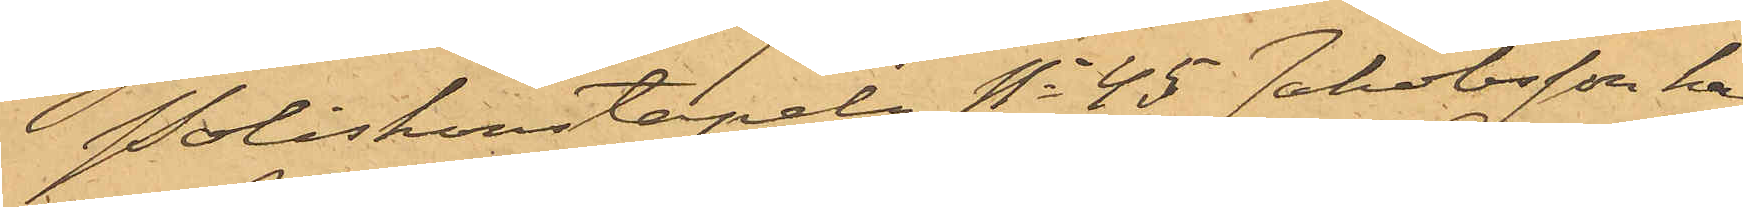Poliskonstapeln No 45 Jakobsson har
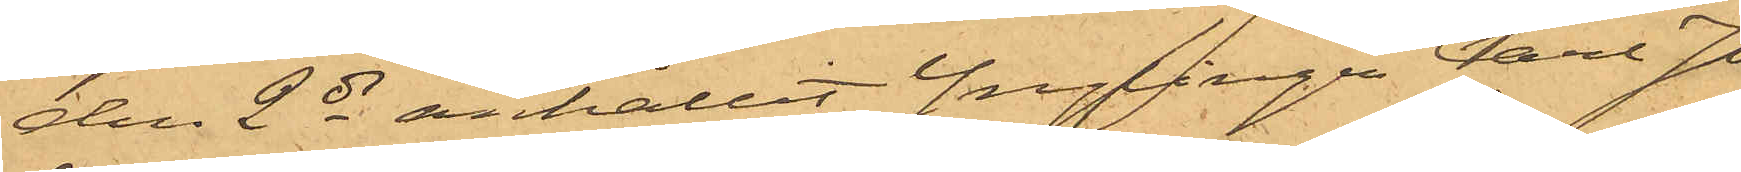den 2 ds anhållit Ynglingen Carl Jo¬
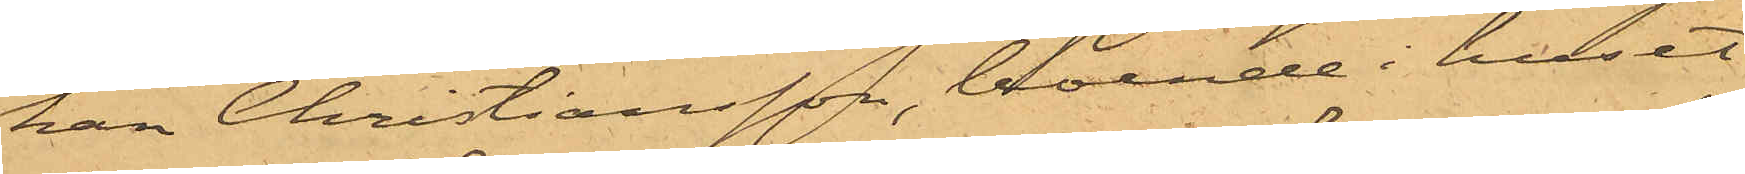han Christiansson, boende i huset
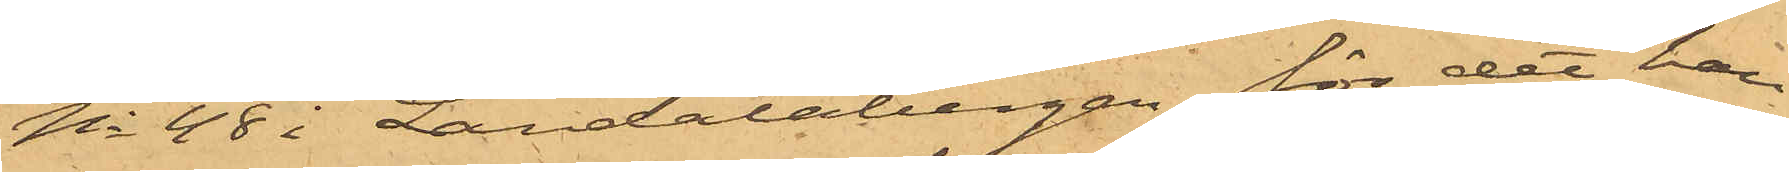No 48 i Landalabergen för det han
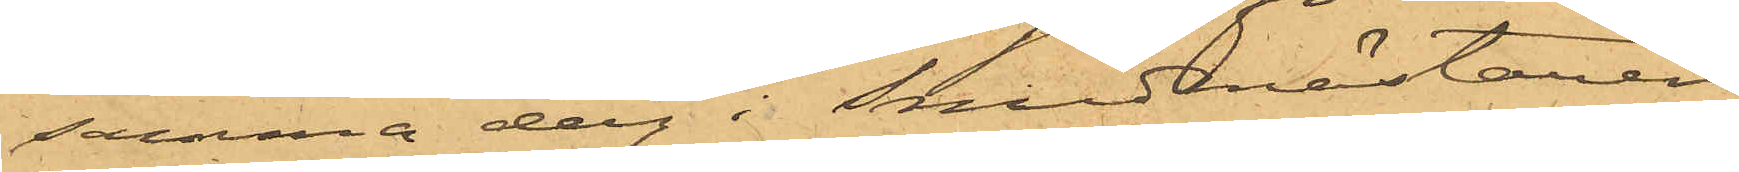samma dag i Smedmästaren
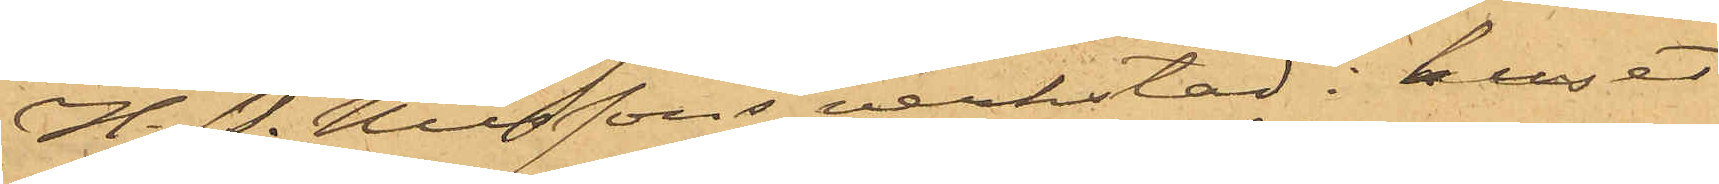H. P. Nilssons verkstad i huset
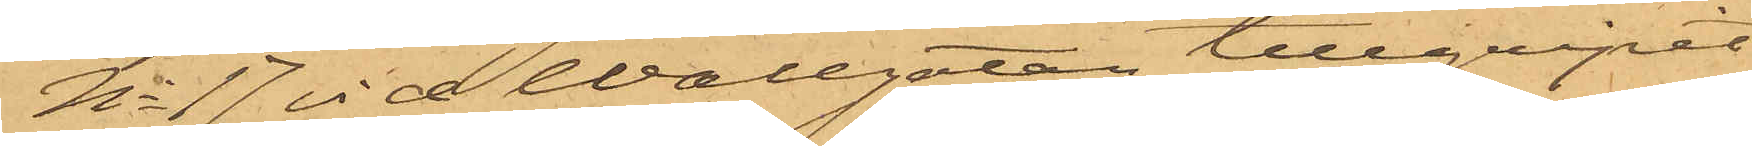No 17 vid Wallgatan tillgripit
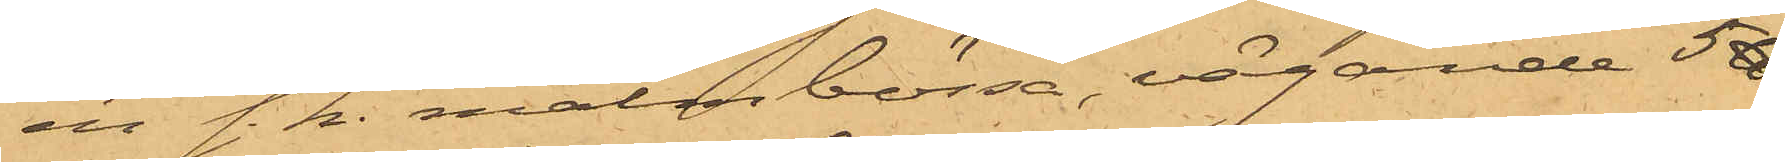en s. k. malmbössa, vägande 5 ℔.
